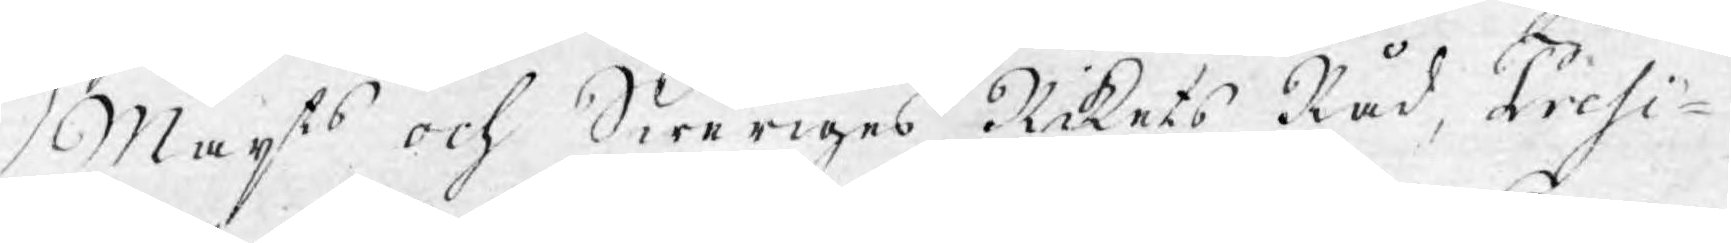Majts och Sweriges Rikets Råd, Presi¬
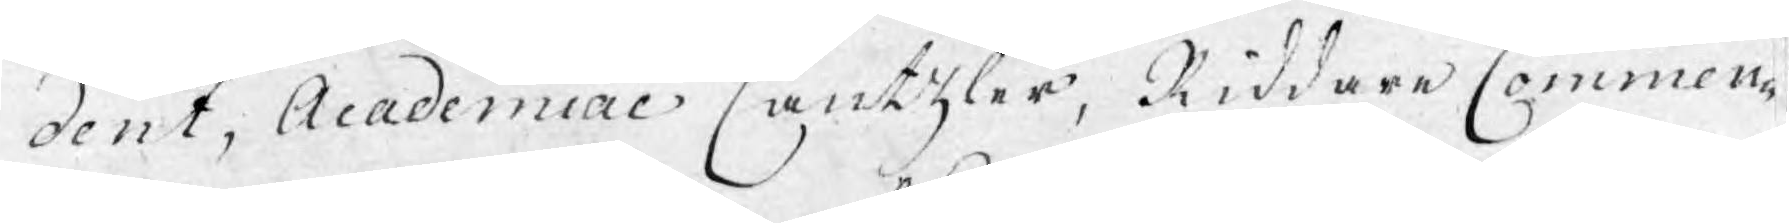dent, Academiæ Cantzler, Riddare Commen¬
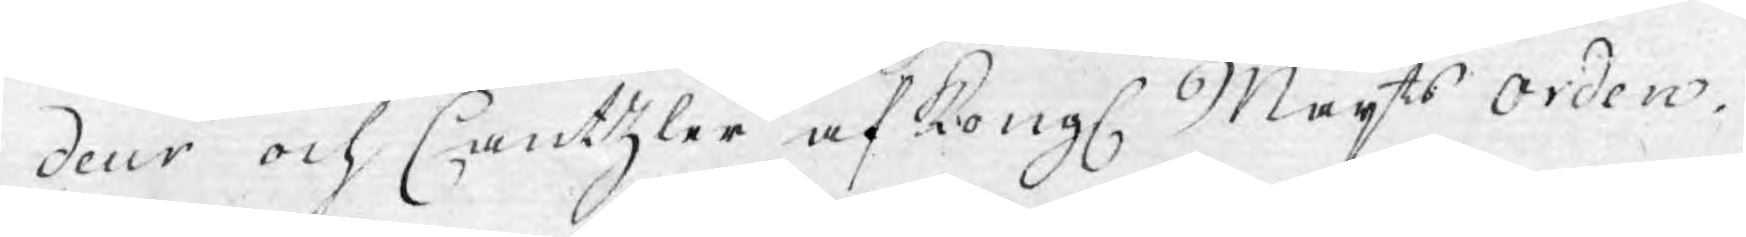deur och Cantzler af Kongl. Majts orden.
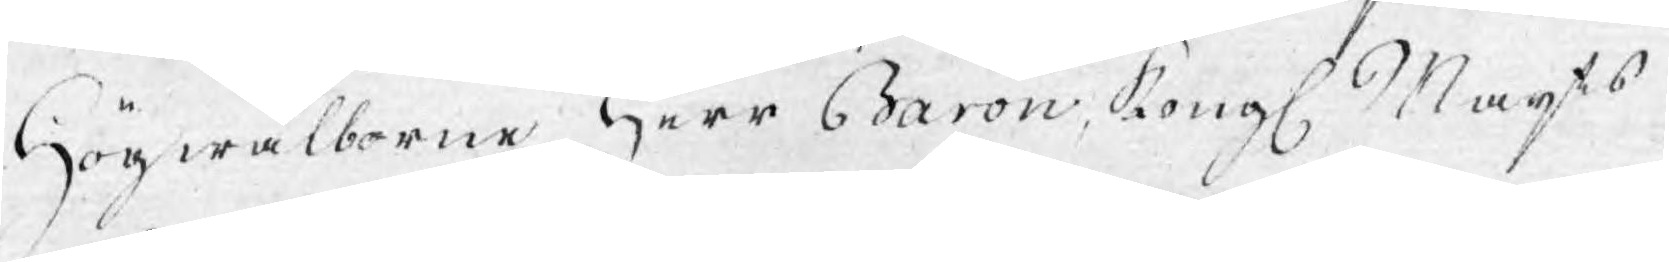Högwälborne Herr Baron, Kongl. Majts
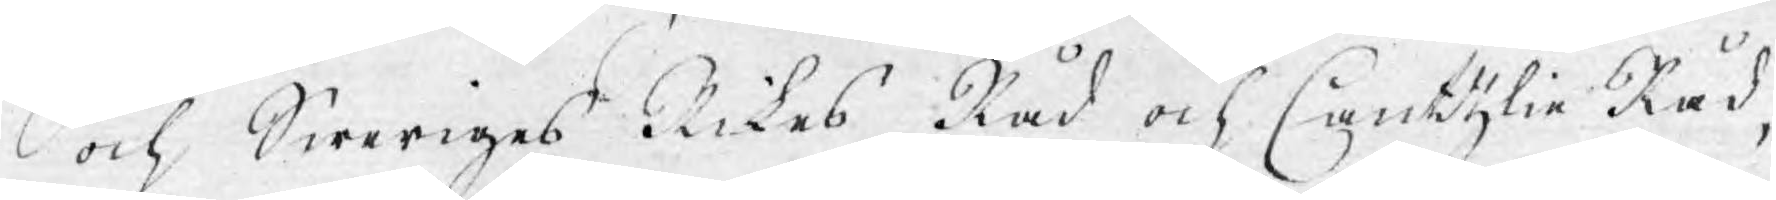och Sweriges Rikes Råd och Cantzlie Råd,
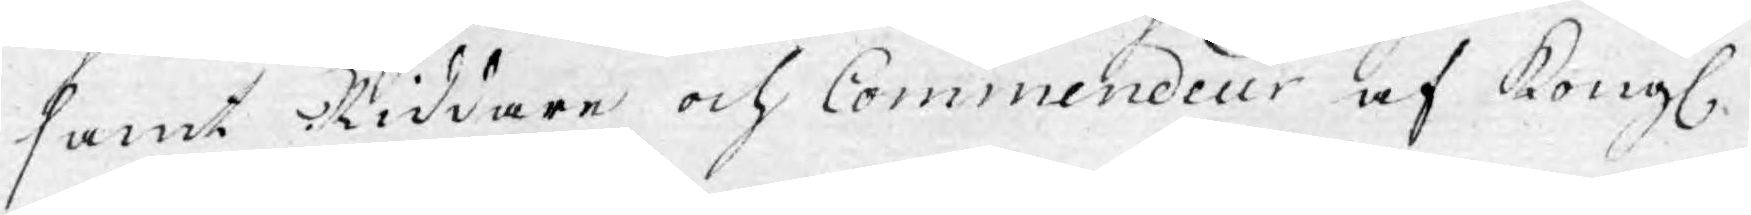samt Riddare och Commendeur af Kongl.
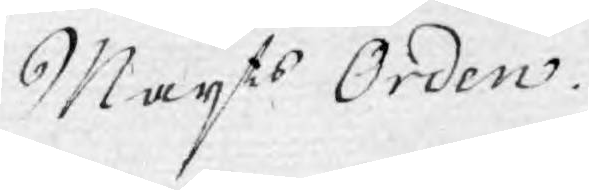Majts Orden.
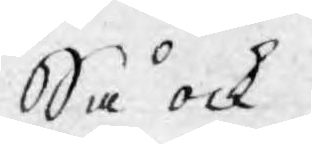Så ock
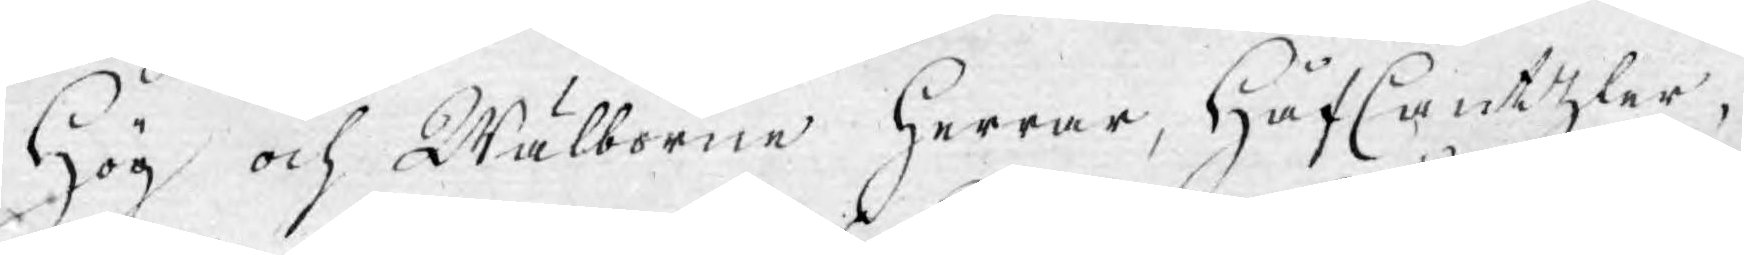Hög och Wälborne Herrar, HåfCantzler,
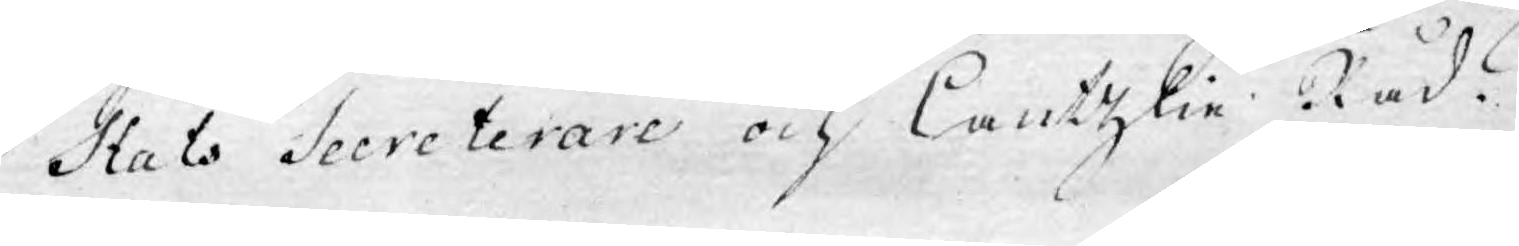StatsSecreterare och Cantzlie Råd,
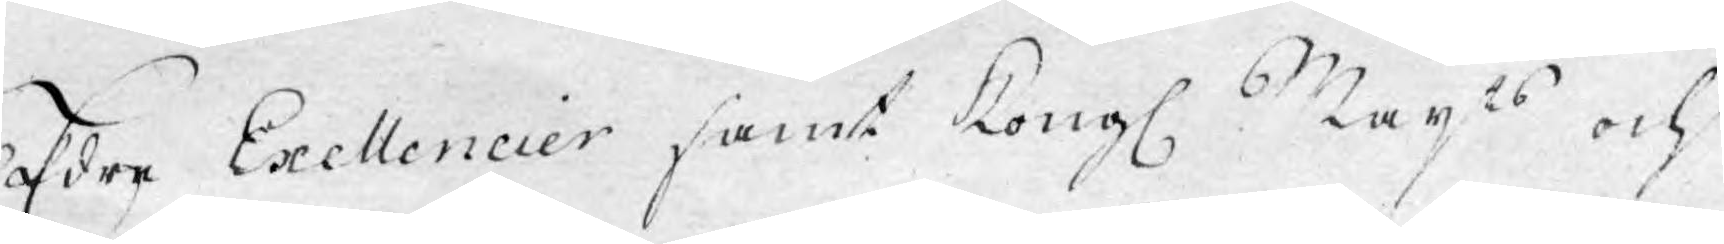Edre Exellencier samt Kongl. Majts och
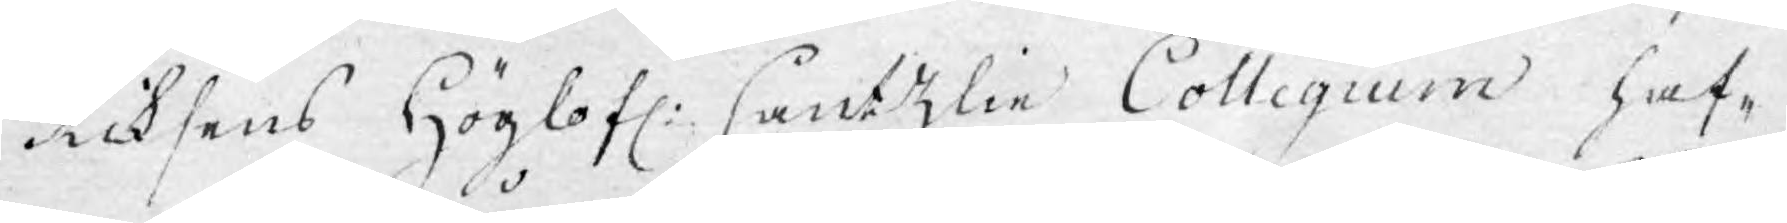Riksens Höglofl: Cantzlie Collegium haf¬
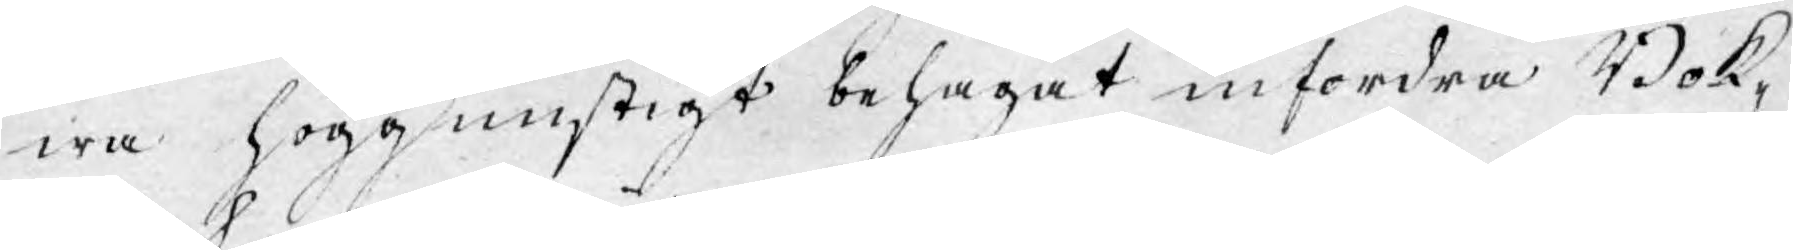wa höggunstigt behagat infordra Bok¬
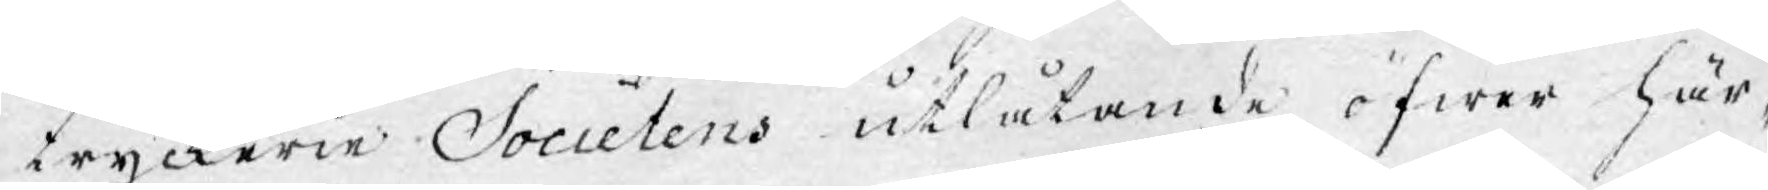tryckerie Societens utlåtande öfwer här¬
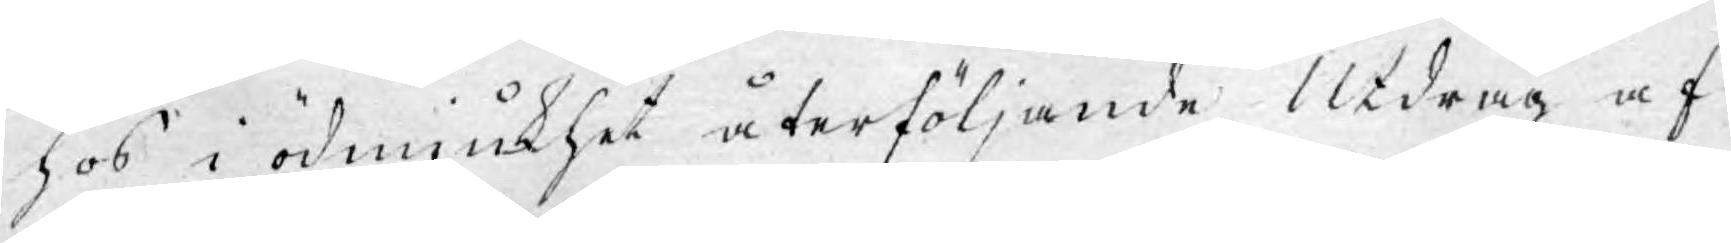hos i ödmjukhet återföljande Utdrag af
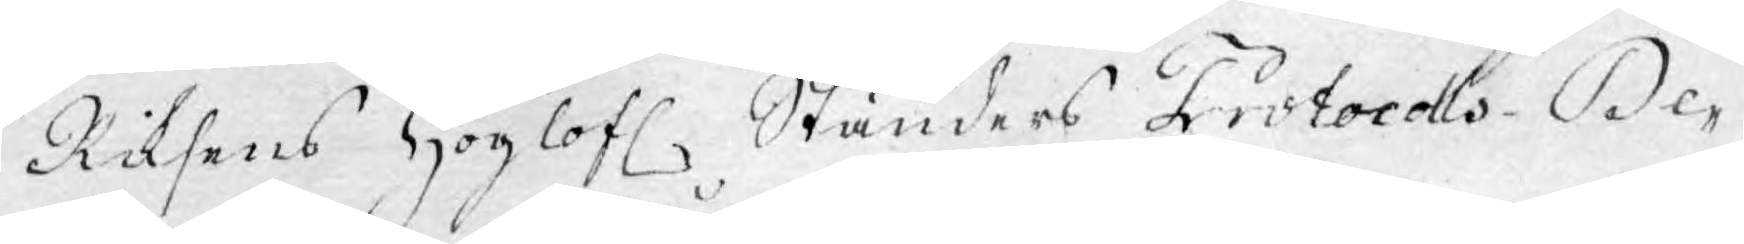Riksens Höglofl. Ständers Protocolls- De¬
